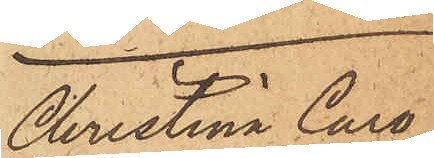Christina Caro¬
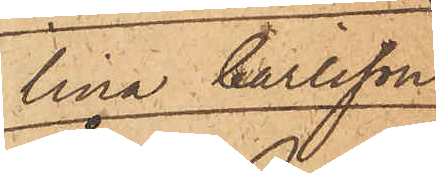lina Carlsson
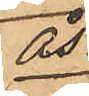Ås.
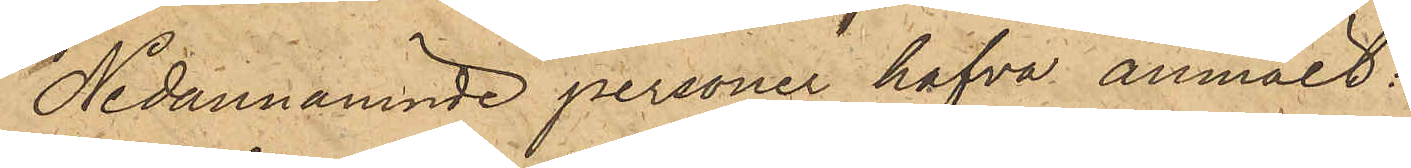Nedannämnde personer hafva anmält:
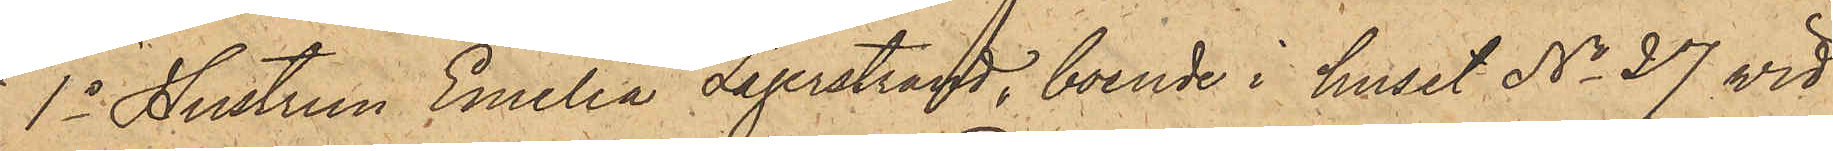1o Hustrun Emilia Lagerstrand, boende i huset No 27 vid
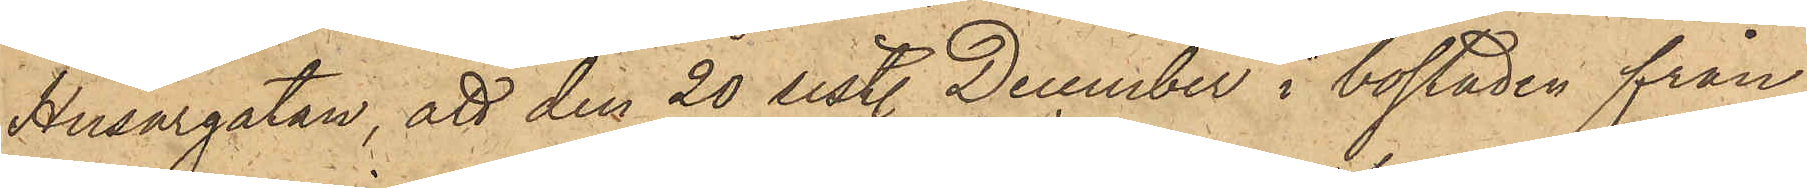Husargatan, att den 20 sist. December i bostaden från
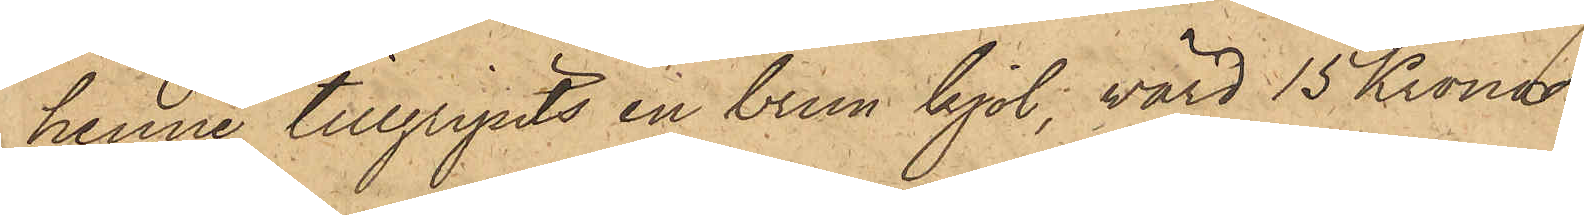henne tillgripits en brun kjol, värd 15 Kronor;
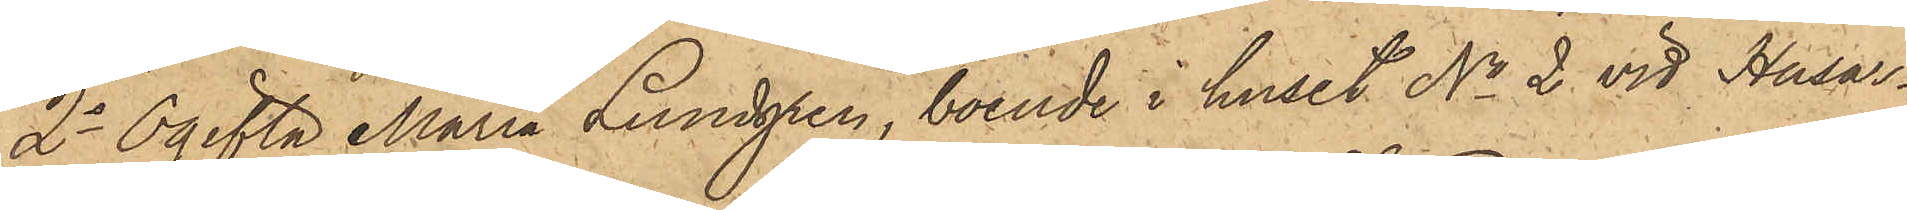2o Ogifta Maria Lundgren, boende i huset No 2 vid Husar¬
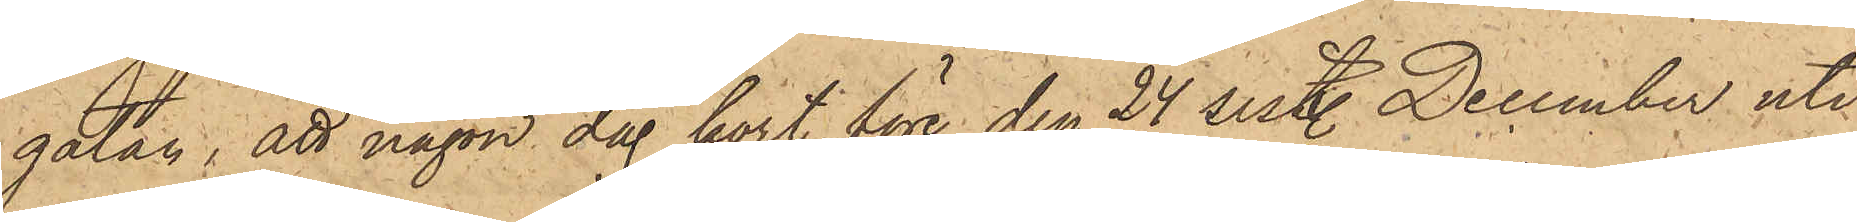gatan, att någon dag kort före den 24 sist. December uti
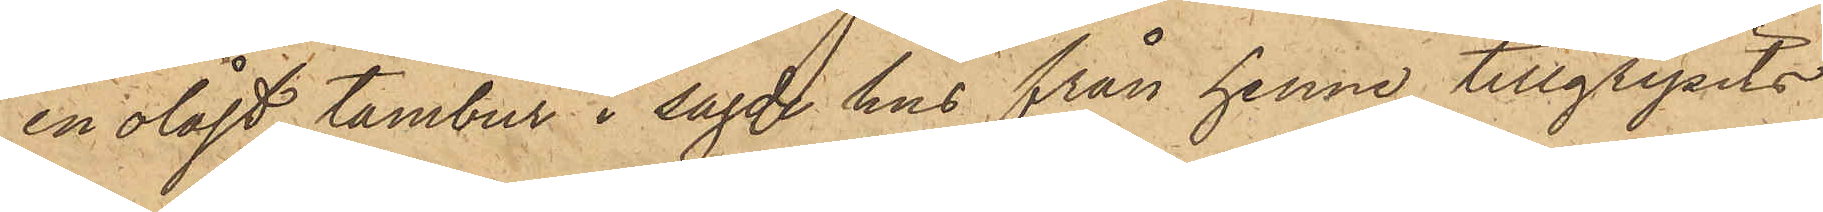en olåst tambur i sagde hus från henne tillgripits
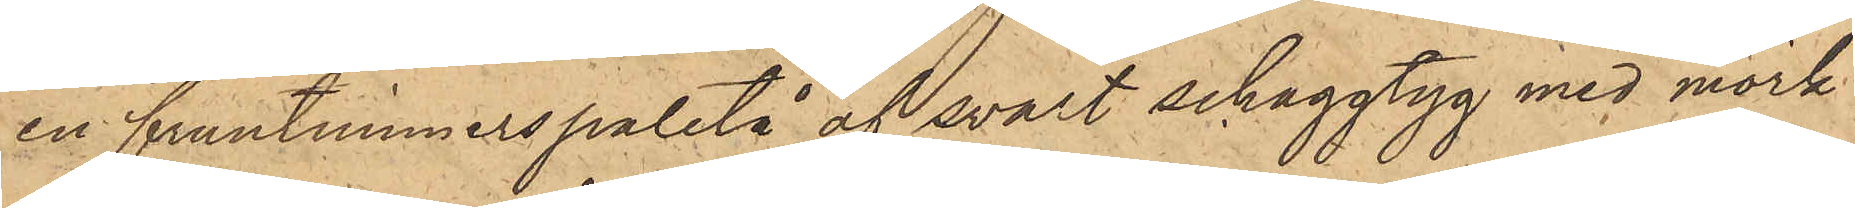en fruntimmerspaletå af svart schaggtyg med mörk
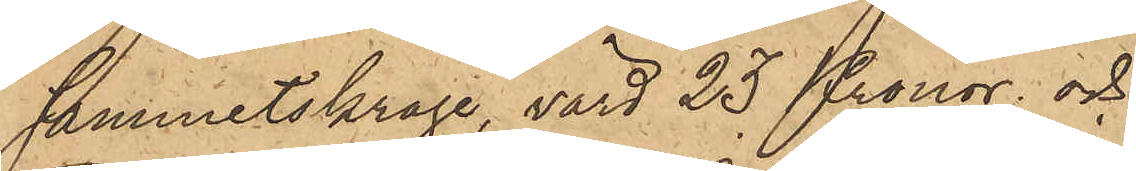sammetskrage, värd 23 Kronor; och
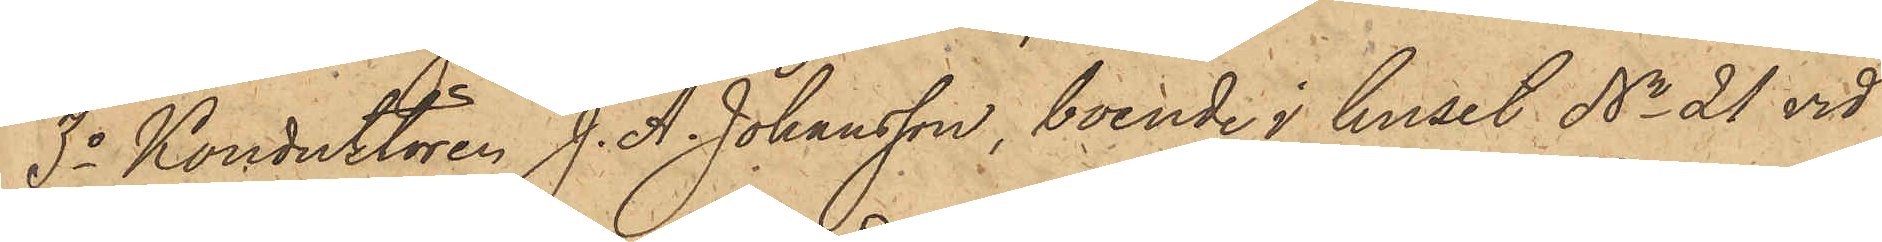3o Konduktören J. A. Johansson, boende i huset No 21 vid
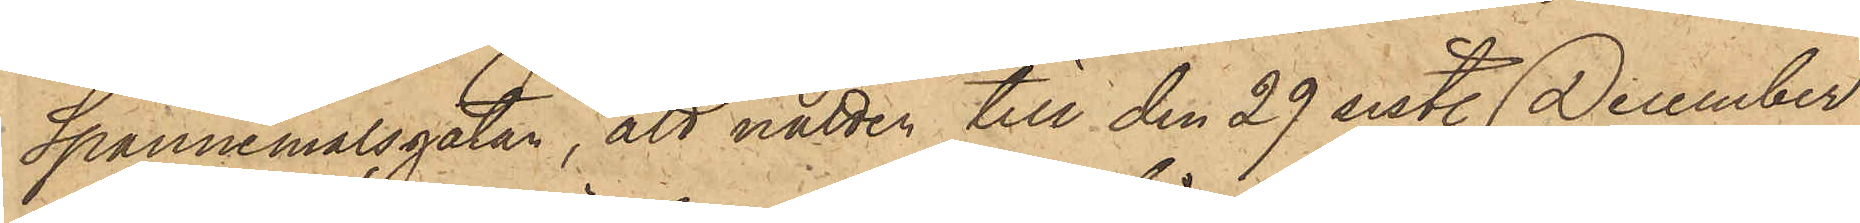Spannmålsgatan, att natten till den 29 sist. December
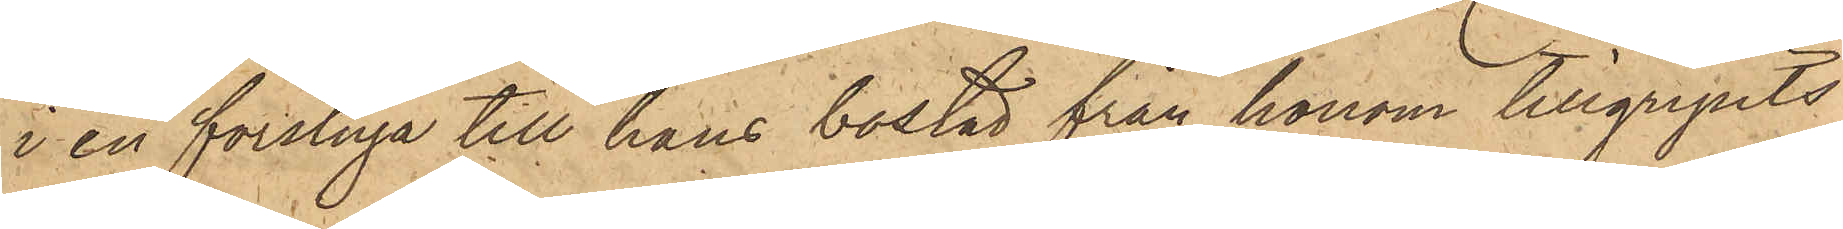i en förstuga till hans bostad från honom tillgripits
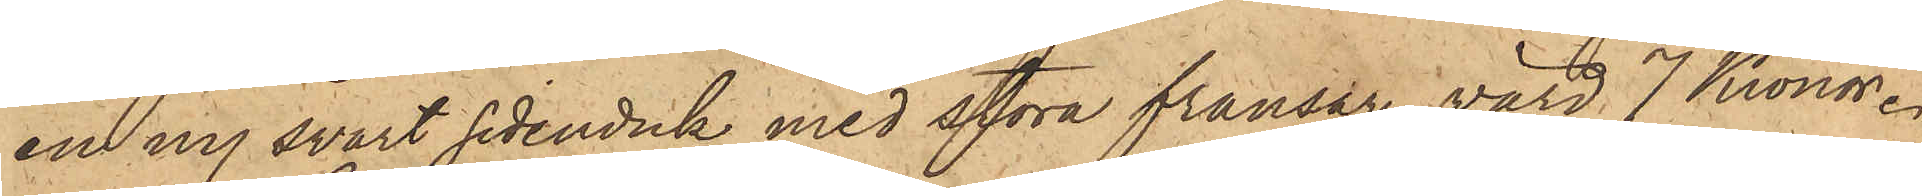en ny svart sidenduk med stora fransar, värd 7 Kronor.
